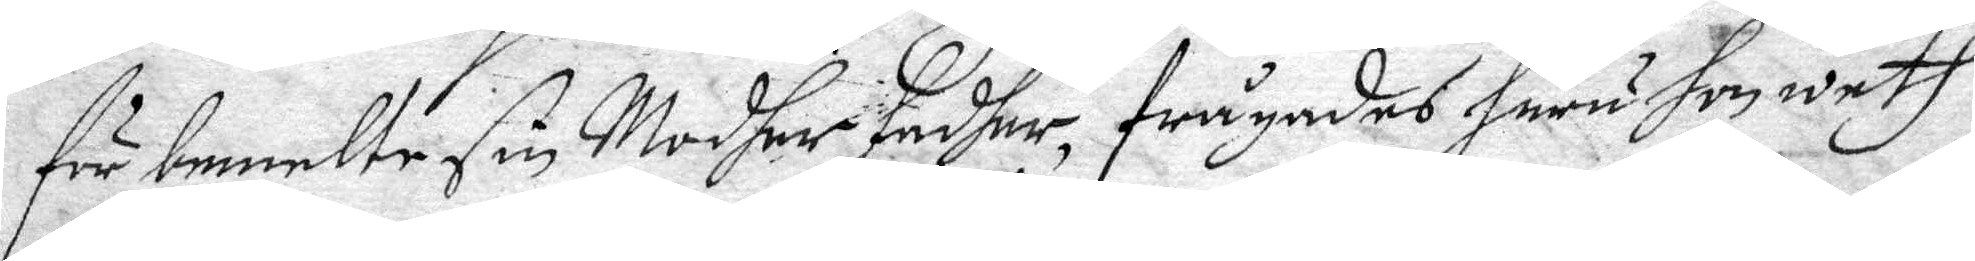för bemelte sin Moder Fadher, frågades huru hon weth
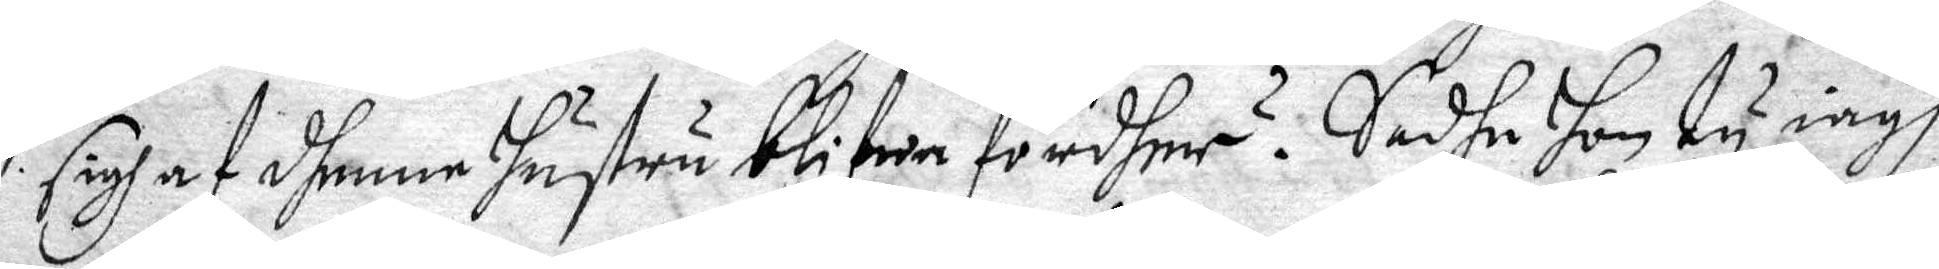sigh at dhenne hustru blifwa fördher? Sadhe hon ty iagh
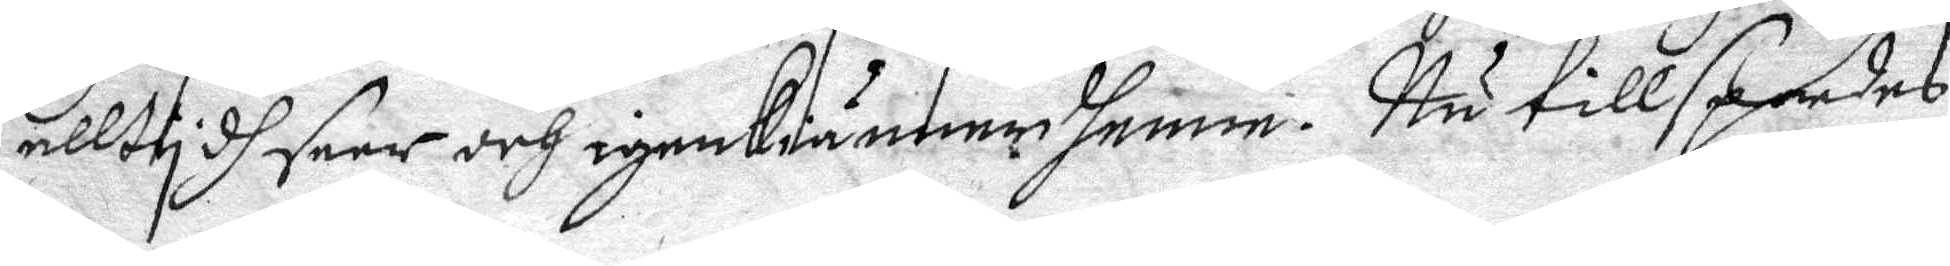allttydh seer och igenkiänner henne. Nu tillspordes
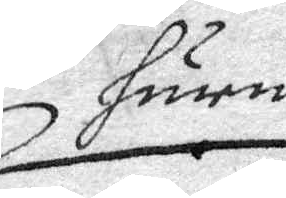huru
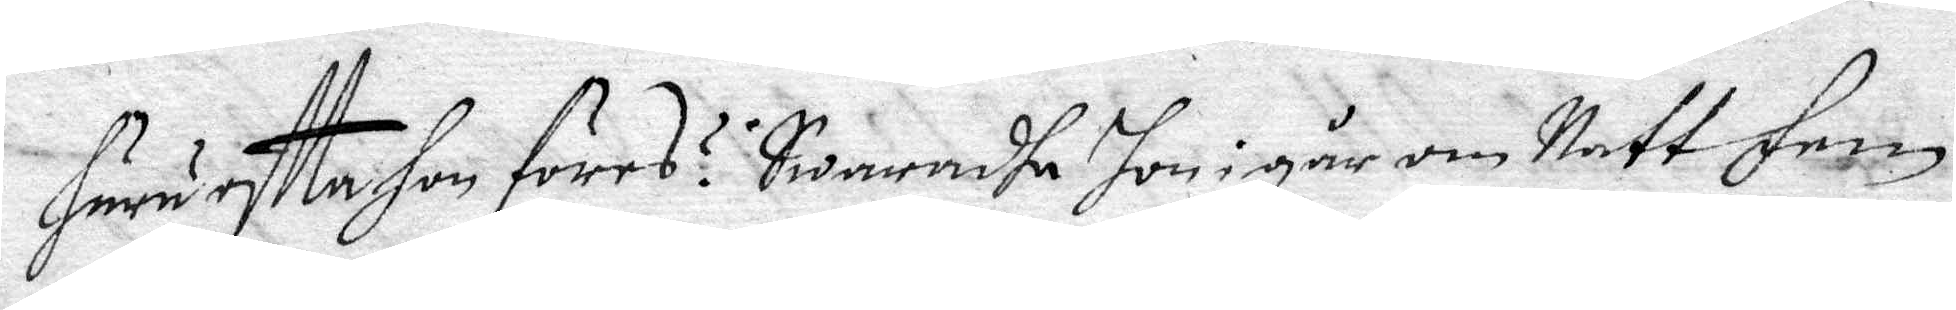Huru eftter Hon föres? Swaradhe Hon i går om Natt fem
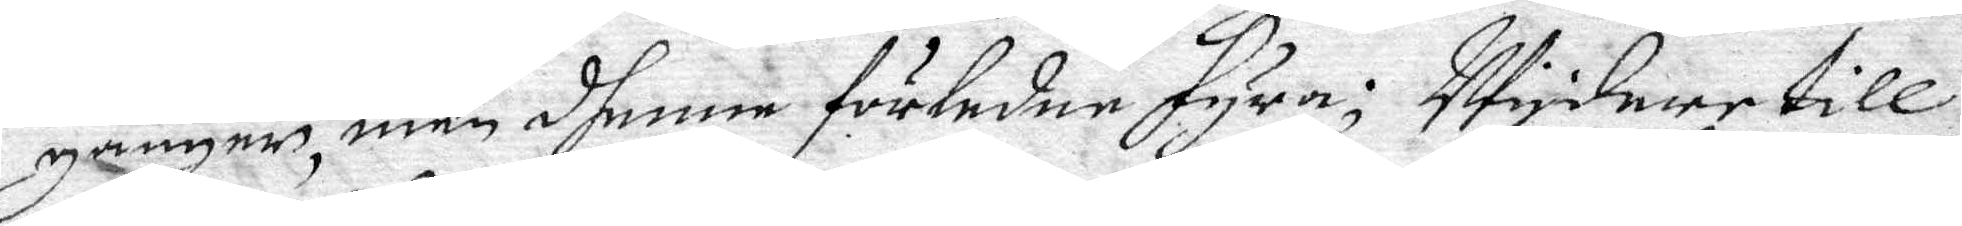gånger, neb dhenne förledne fyra; Wydare till¬
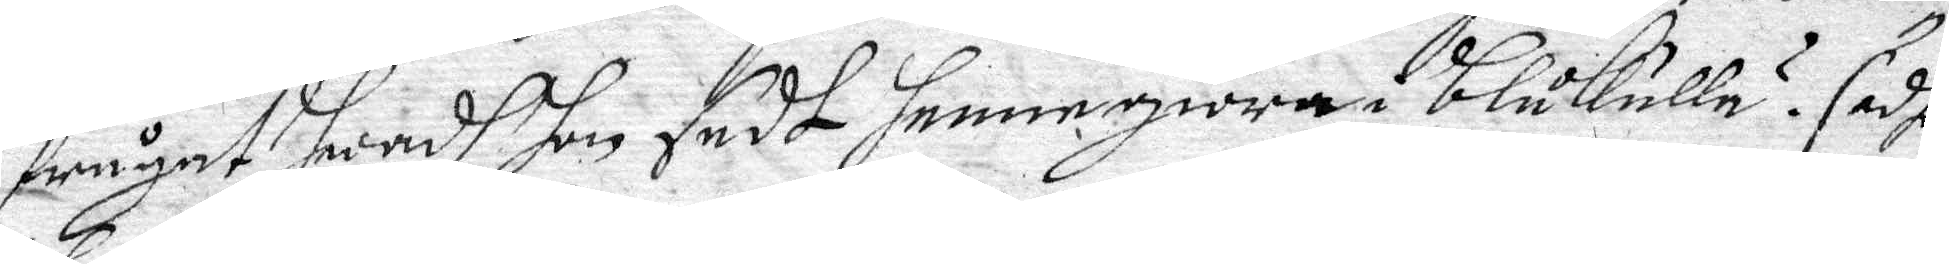frågat huru hon sedt henne giöra i blåkulla? sadhe
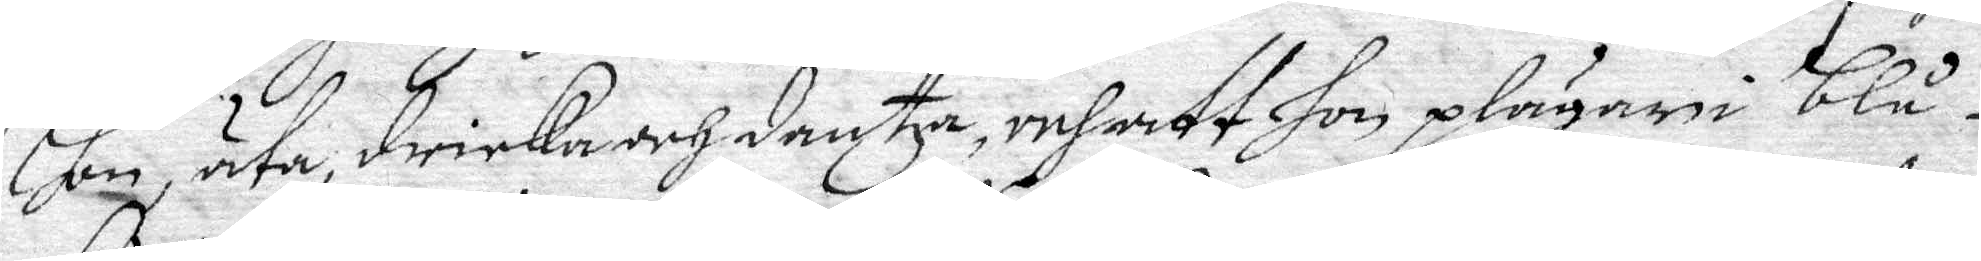hon, äta, dricka och dantza, och att hon plägar i blå¬
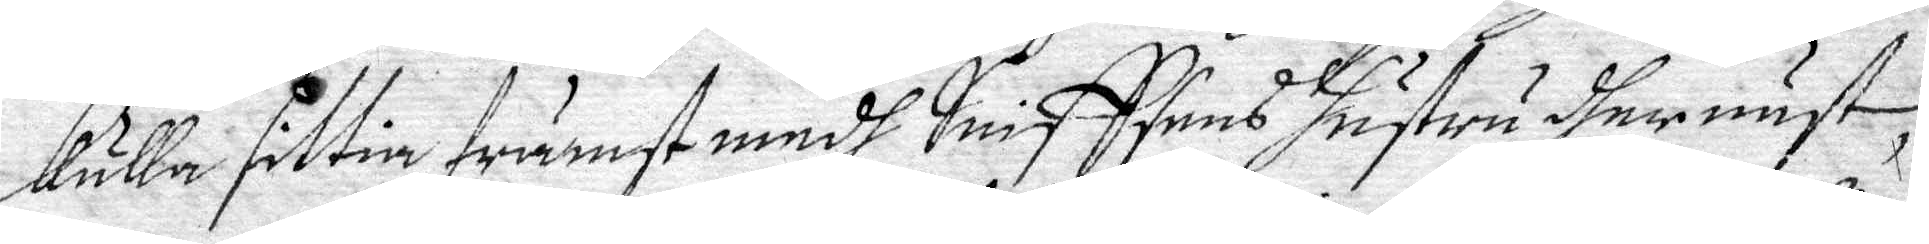kulla sittia främst medh Sniffsens hustru dher näst
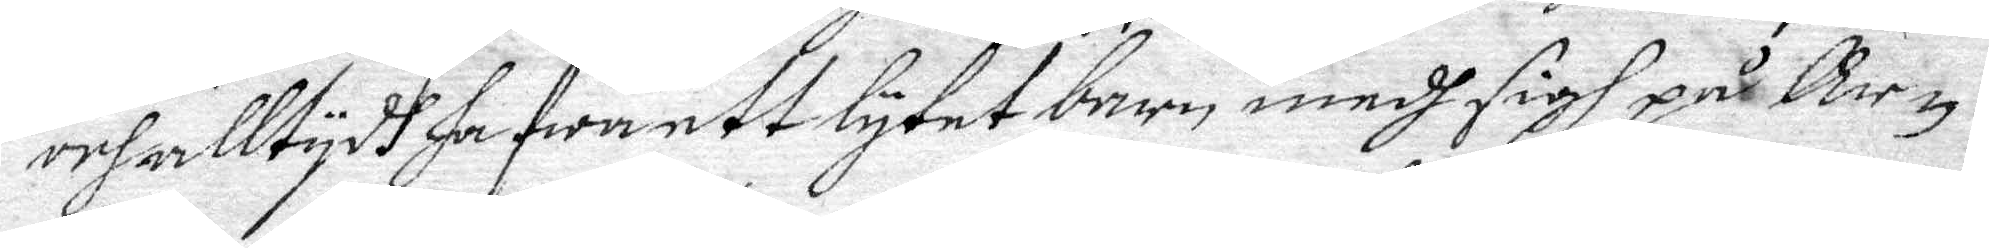och alltydh hafwa ett lytet barn medh sigh på Ar¬
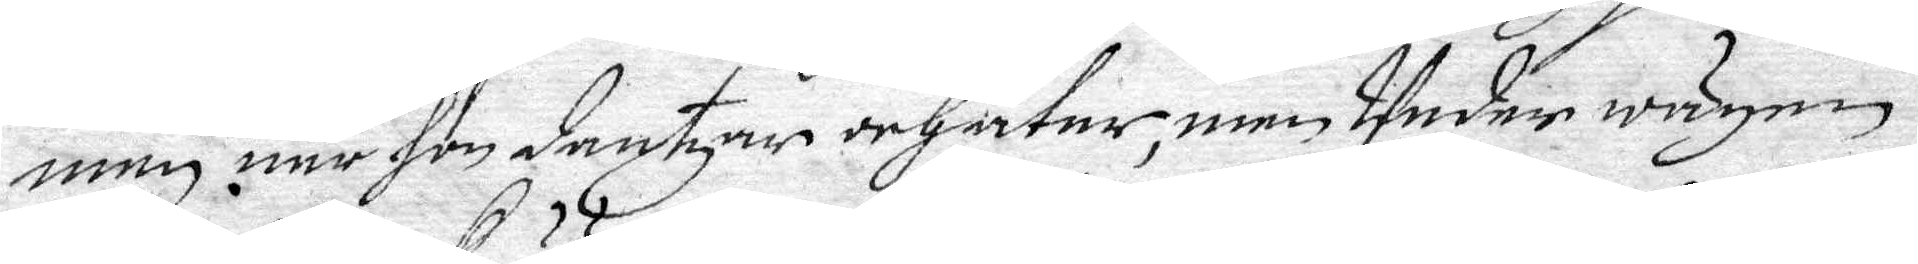men när hon dantzar och äter, men Under wägen
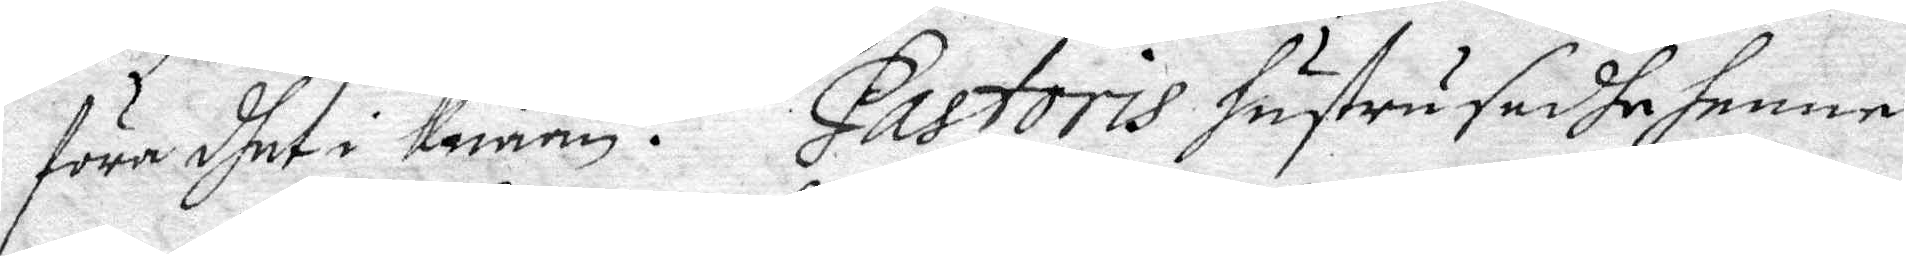föra dhet i knään. Pastoris hustru sadhe henne
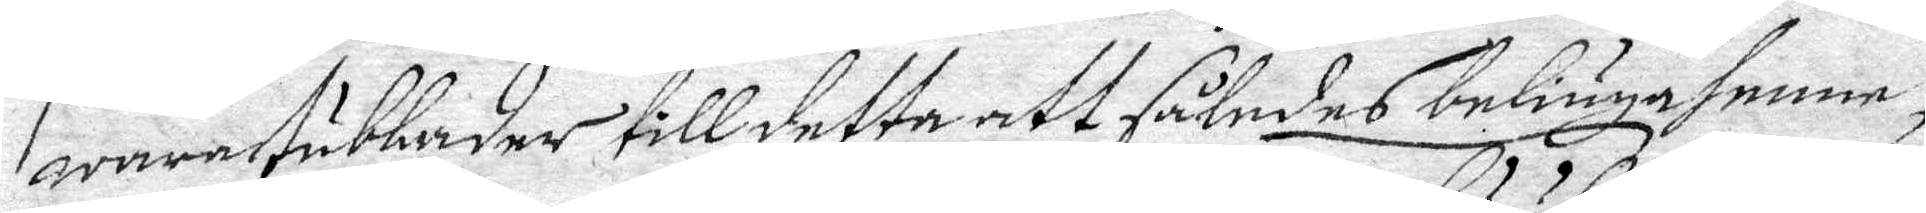wara tubbader till detta att således beliuga henne,
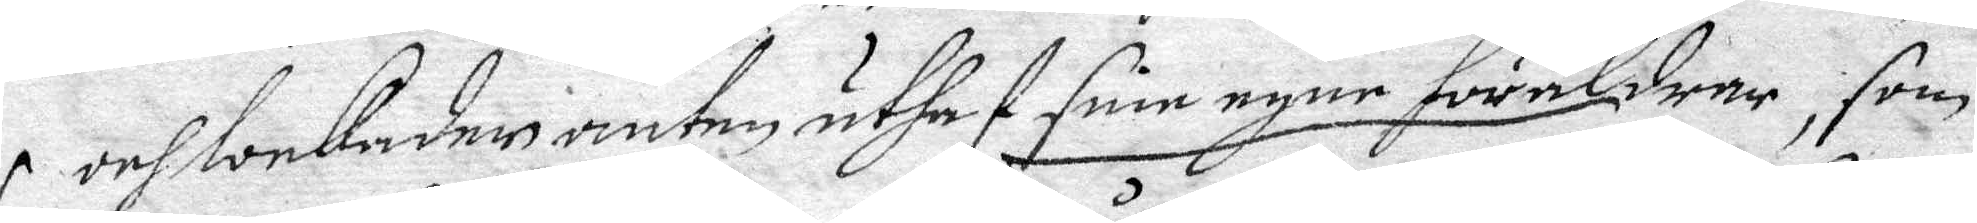och lockader anten uthaf sine egne föräldrar, som
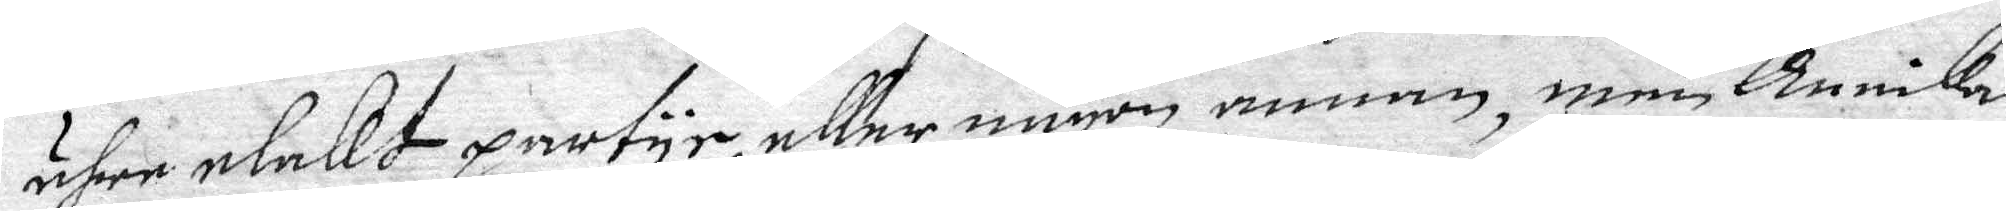ähre elakt partyr, eller någon annan, men Annika
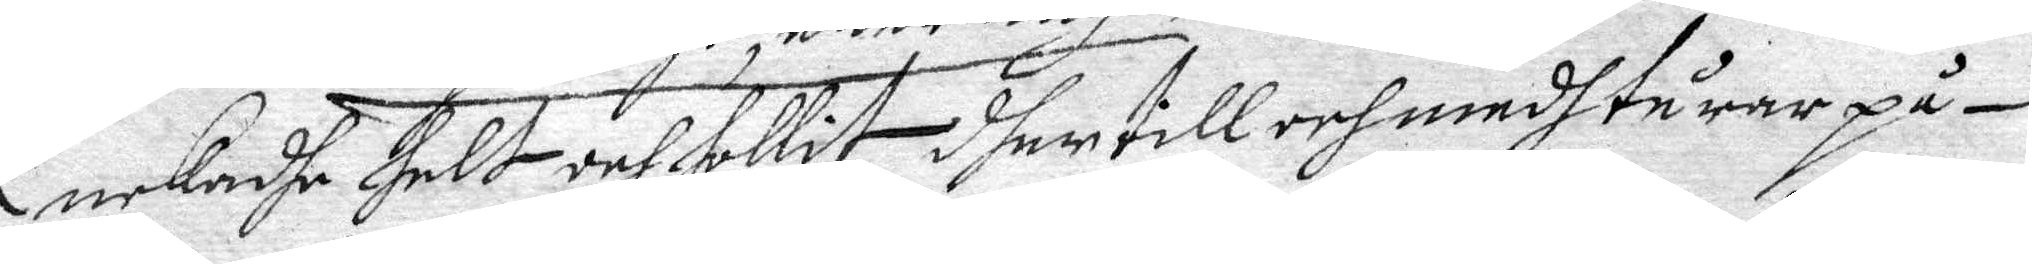nekadhe helt och hollit dher till och medh tårar på¬
